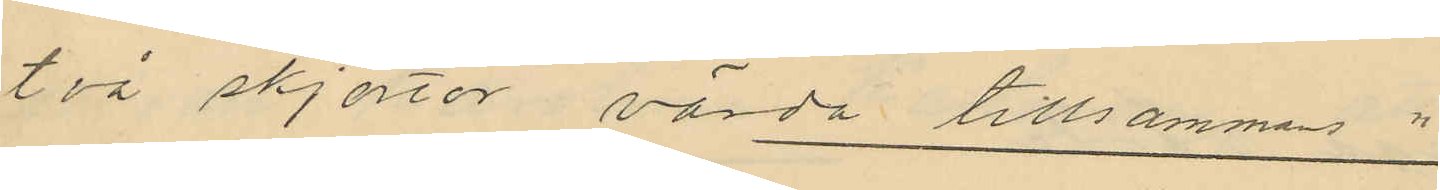två skjortor värda tillsammas "
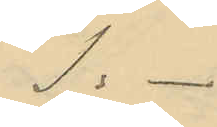1: -
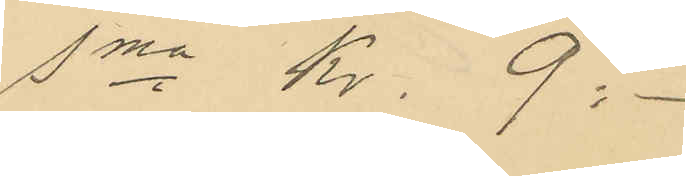Sma Kr. 9:-
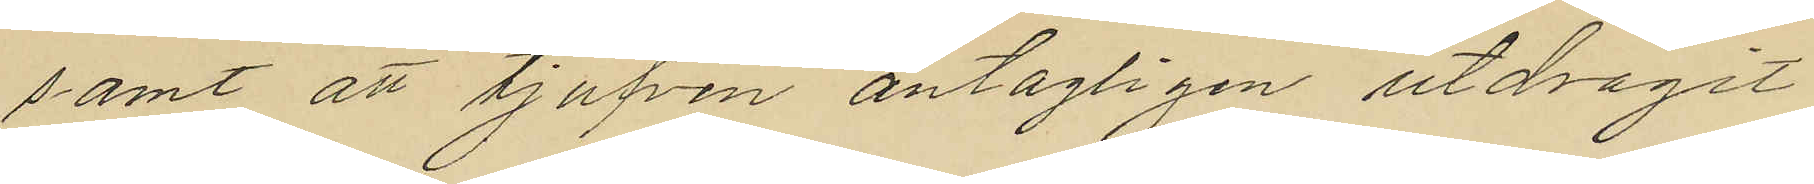samt att tjufven antagligen utdragit
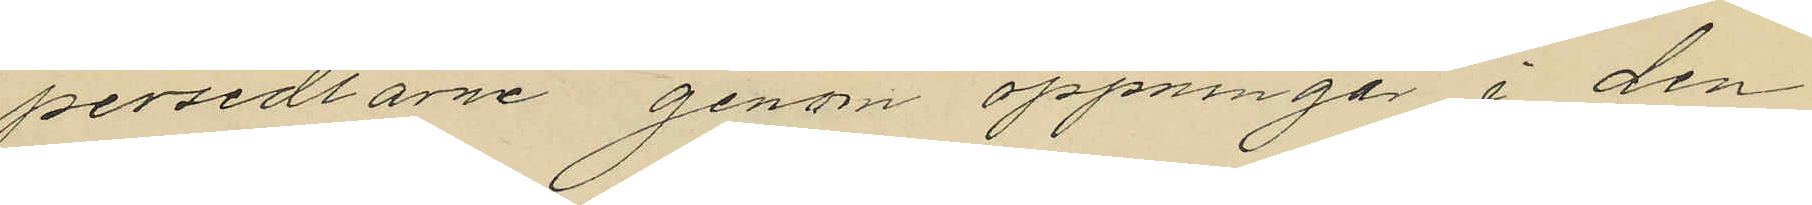persedlarne genom öppningar i den
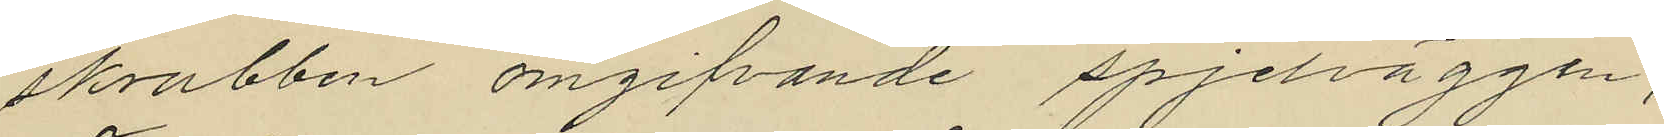skrubben omgifvande spjelväggen,
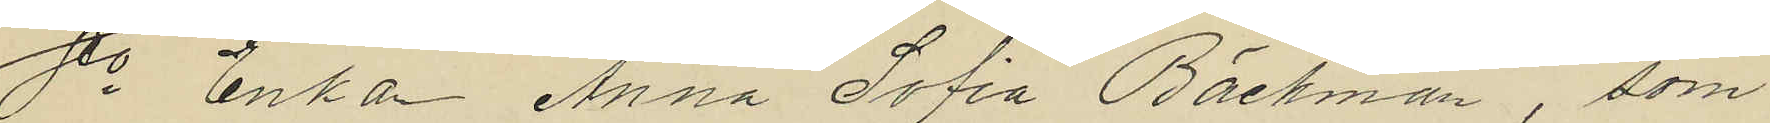8o Enkan Anna Sofia Bäckman, som
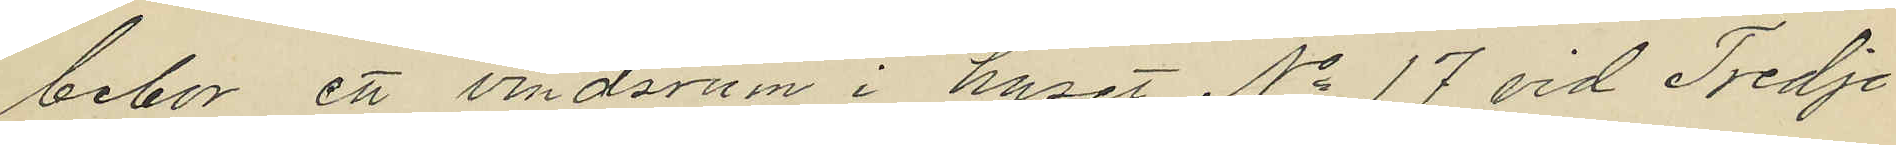bebor ett vindsrum i huset No 17 vid Tredje
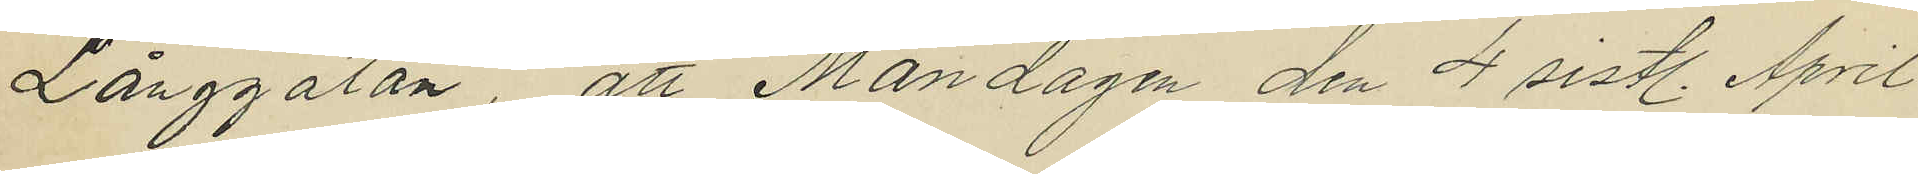Långgatan, att Måndagen den 4 sistl. April
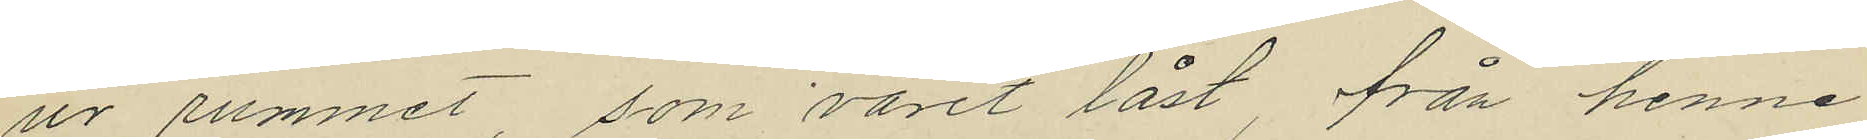ur rummet, som varit låst, från henne
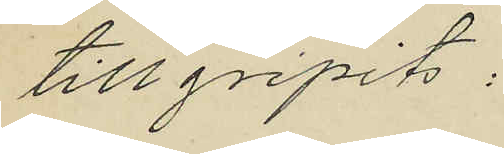tillgripits:
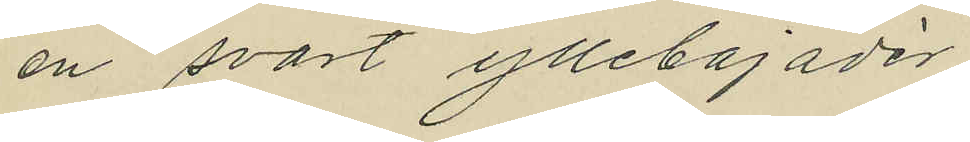en svart yllebajadér
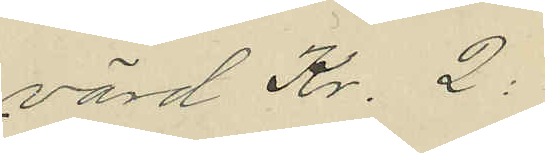värd Kr. 2:
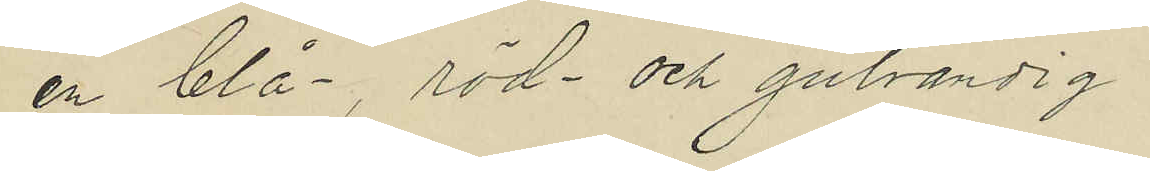en blå-, röd- och gulrandig
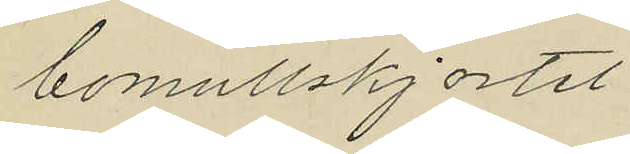bomullskjortel
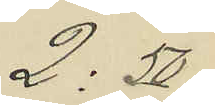2:50
